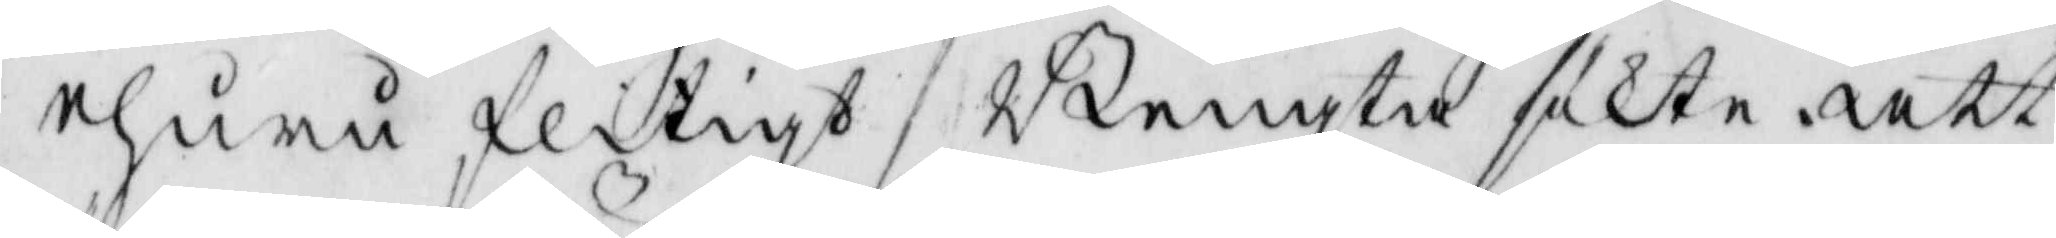ehuru flitigt Bengta sökte att
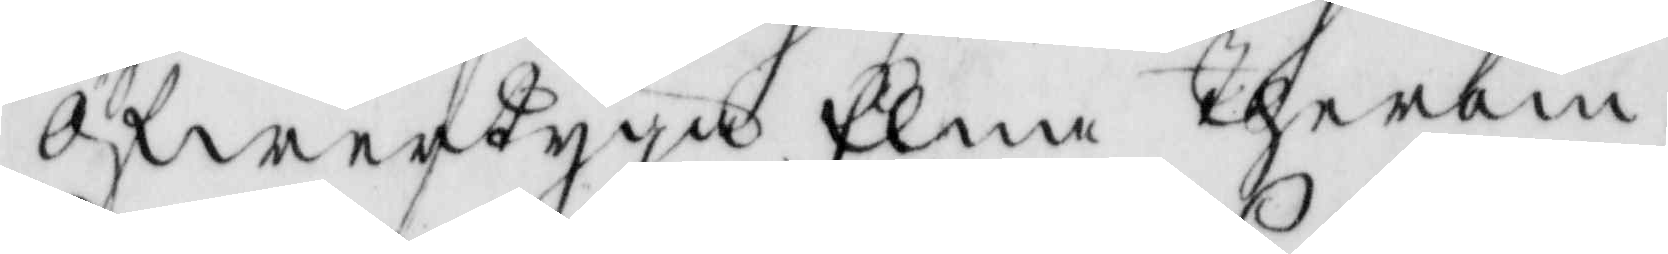öfwertyga Elna therom.
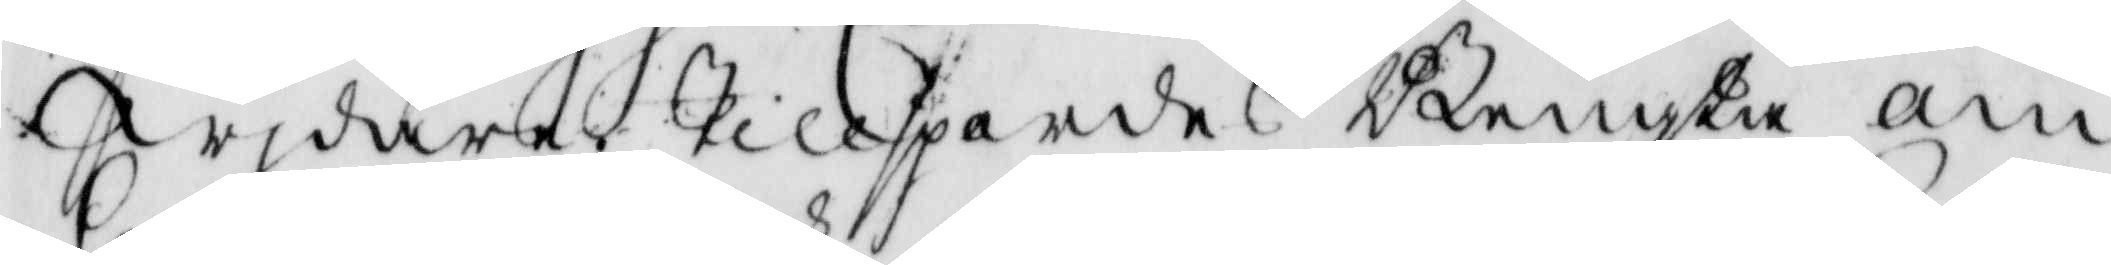Wjdare tillspordes Bengta om
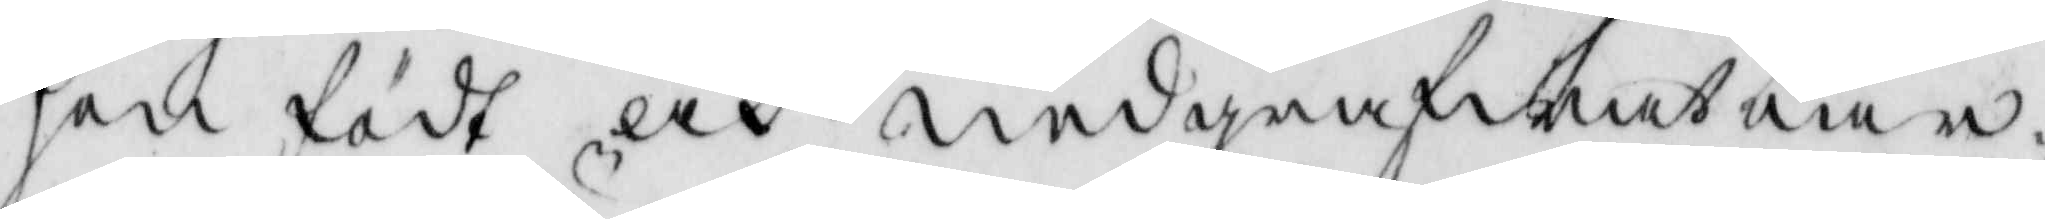hon födt och nedgrafwet barn¬
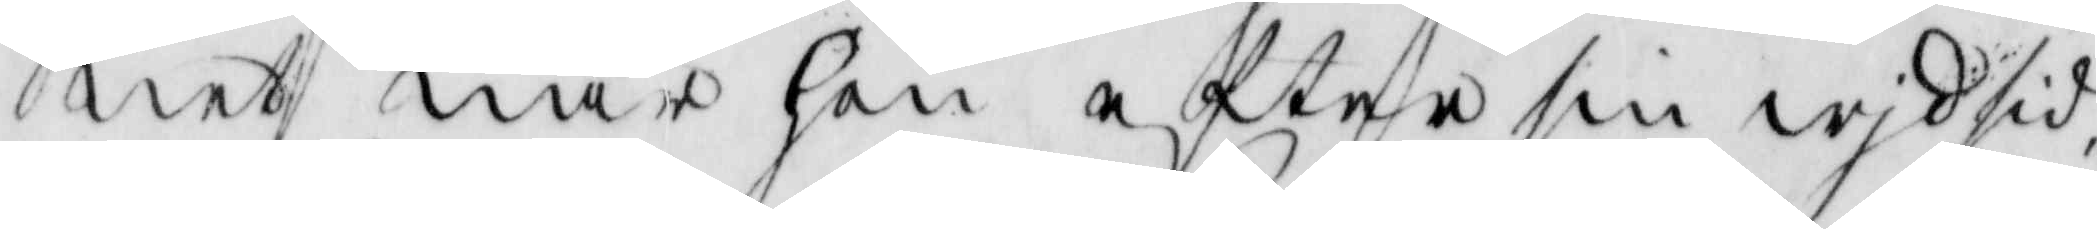net när hon efter sin wid sid¬
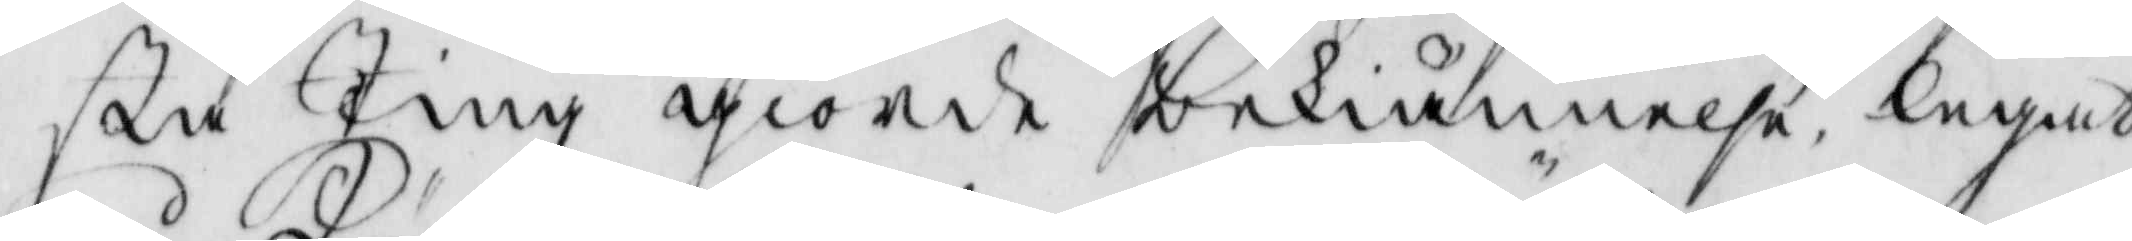sta Ting giorde bekiännelse, legat
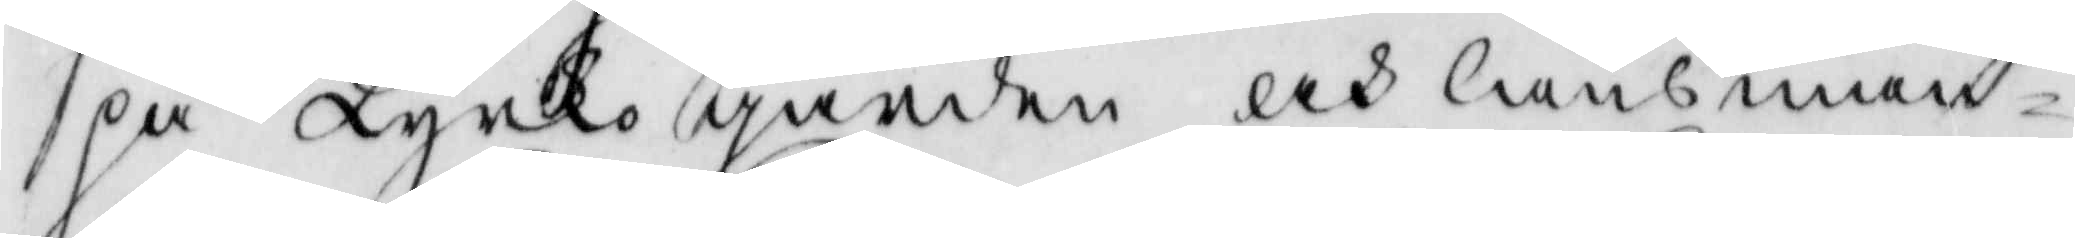på kyrko gården och länsman
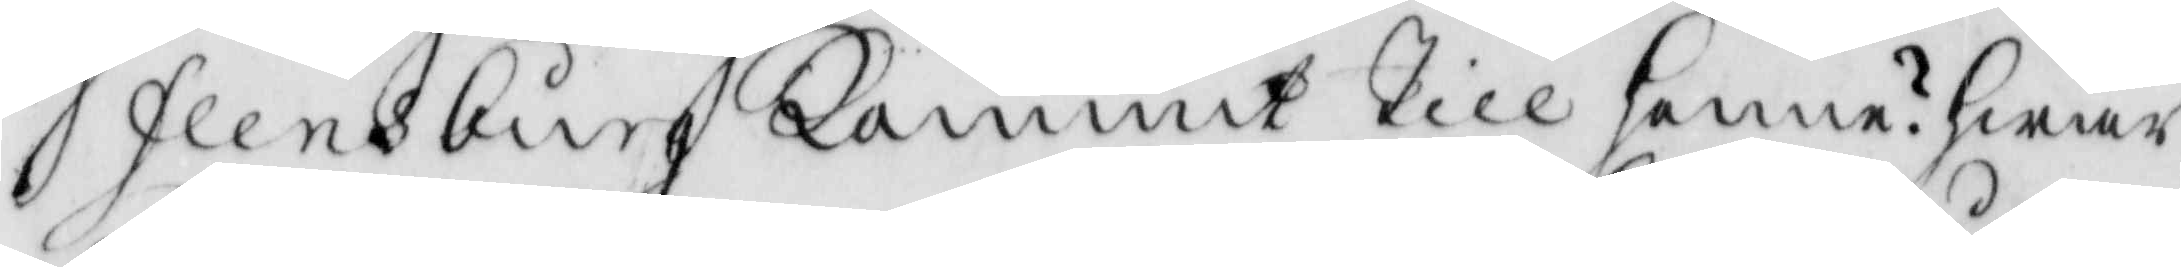Flensburg kommit till henne? hwar
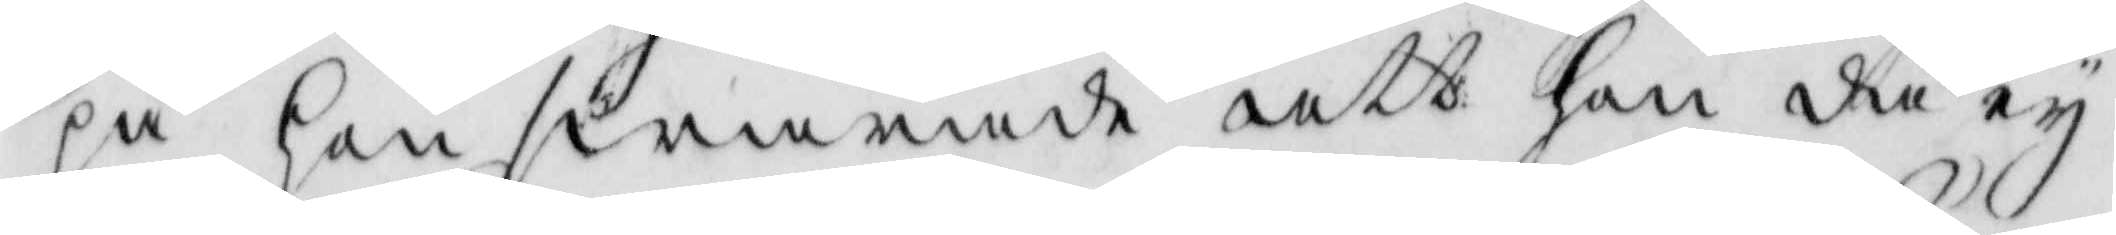på hon swarade att hon då ey
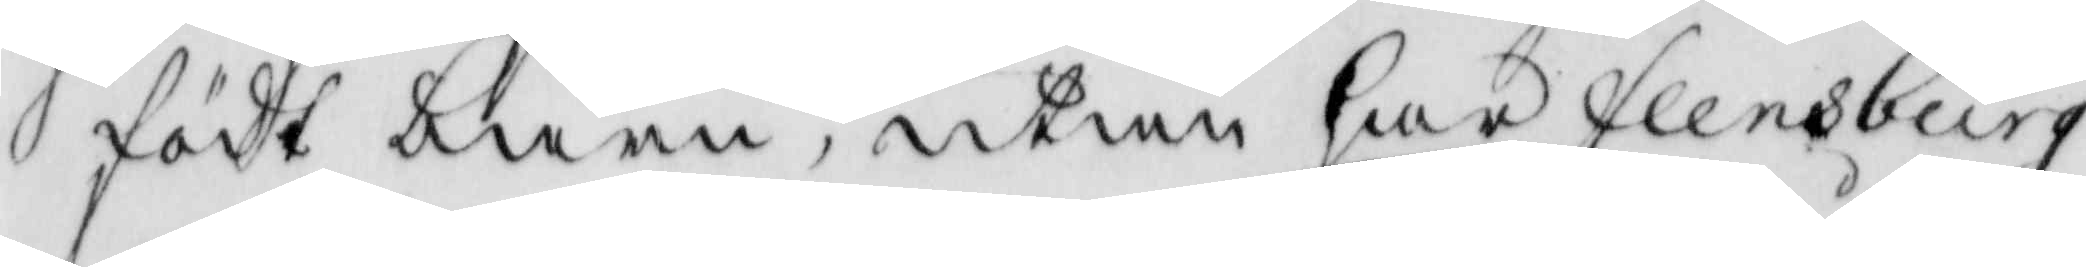födt barn, utan har Flensburg
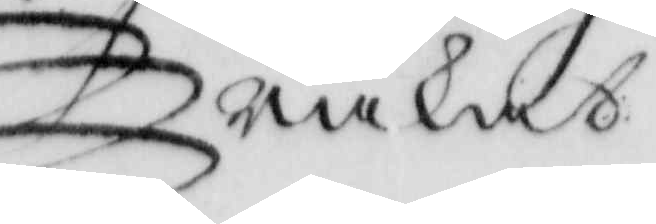råkat
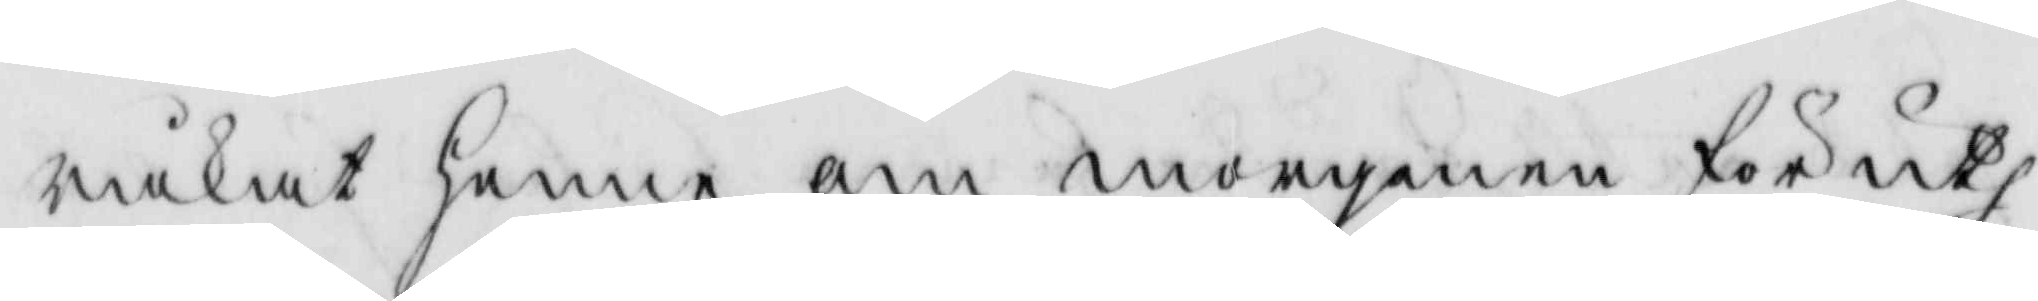råkat henne om morgenen för uth¬
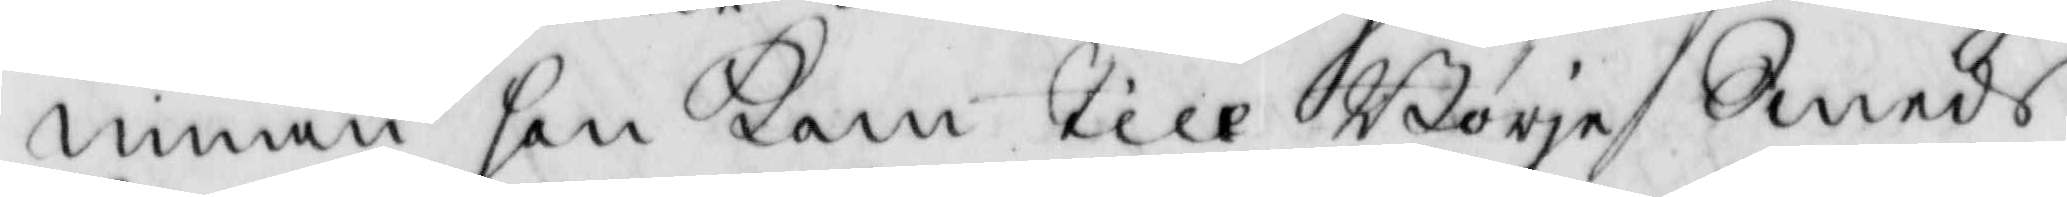innan hon kom till Börje Smeds
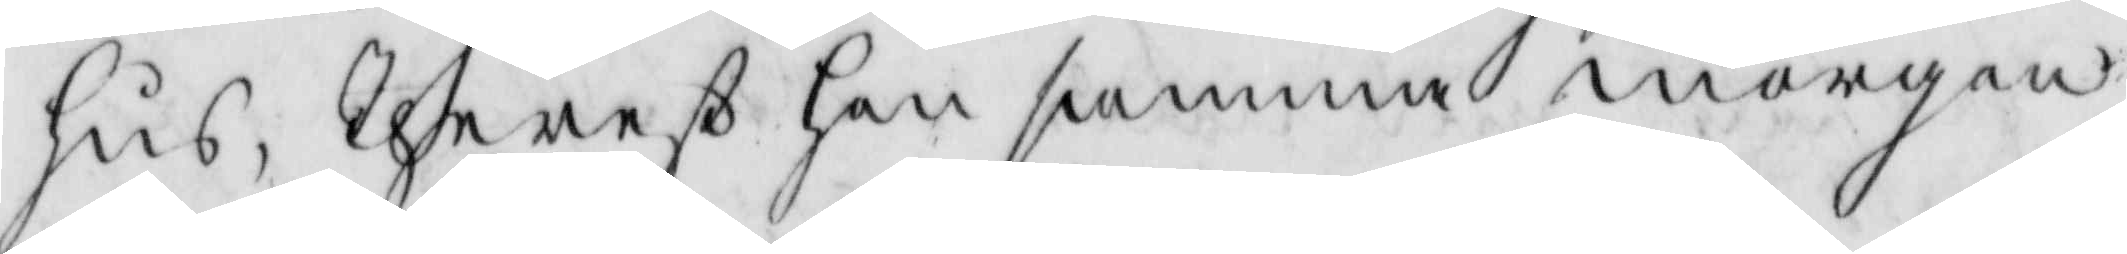hus, therest hon samma morgon
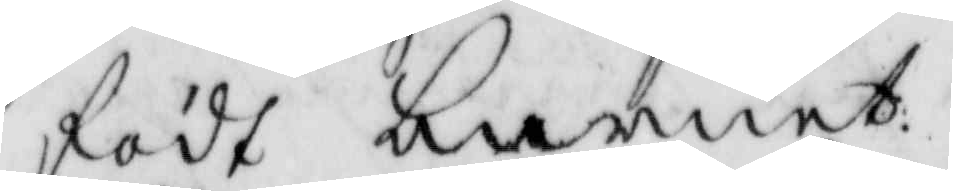födt barnet.
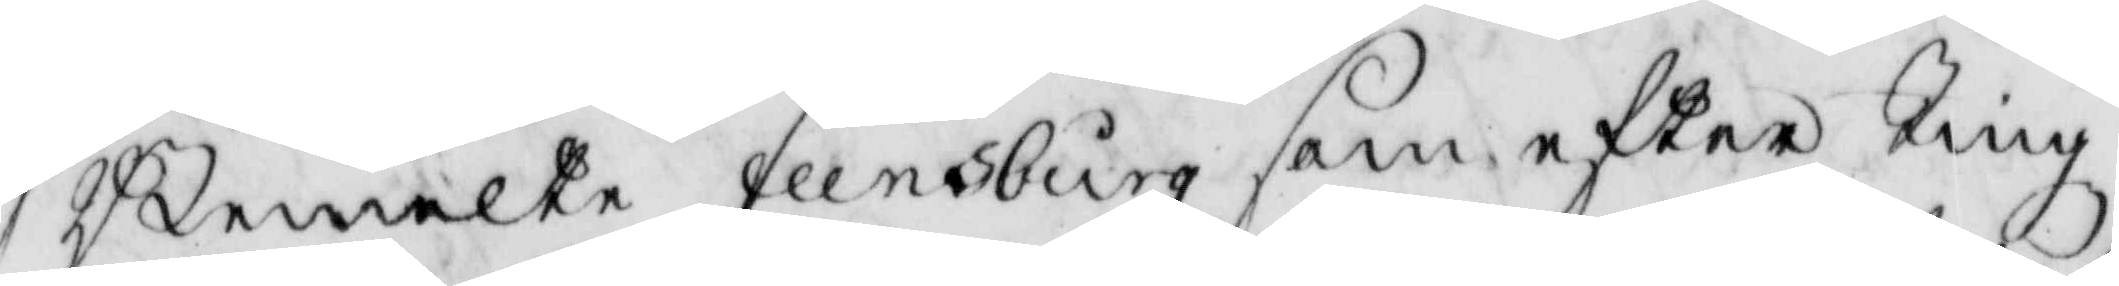Bemelte Flensburg som eftter Tingz¬
